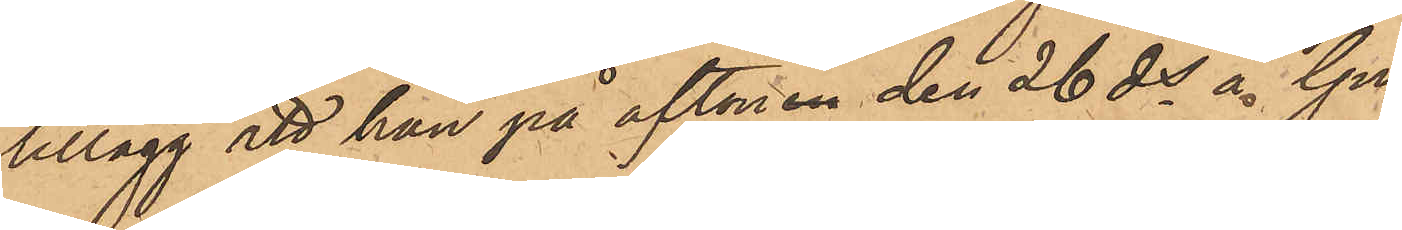tillägg att han på aftonen den 26 ds å Gu¬
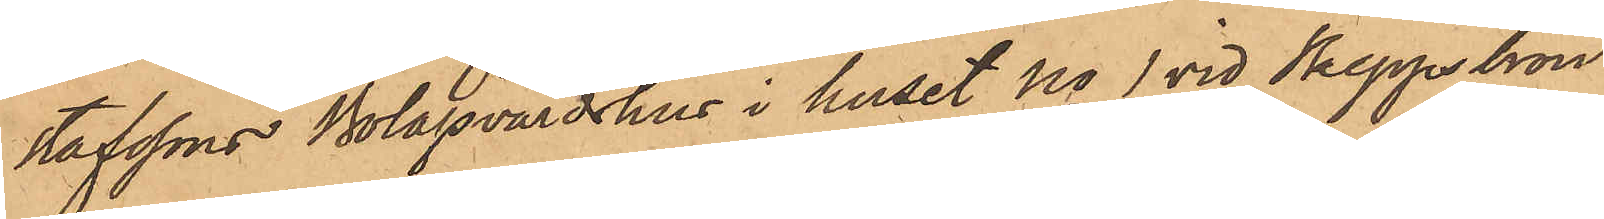stafssons Bolagvärdshus i huset No 1 vid Skeppsbron
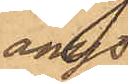ånyo
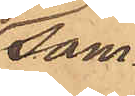sam¬
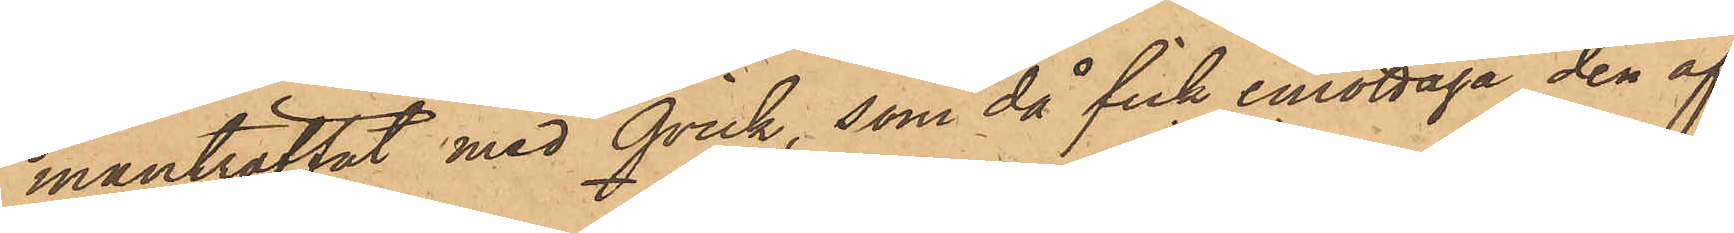manträffat med Qvick, som då fick emottaga den af
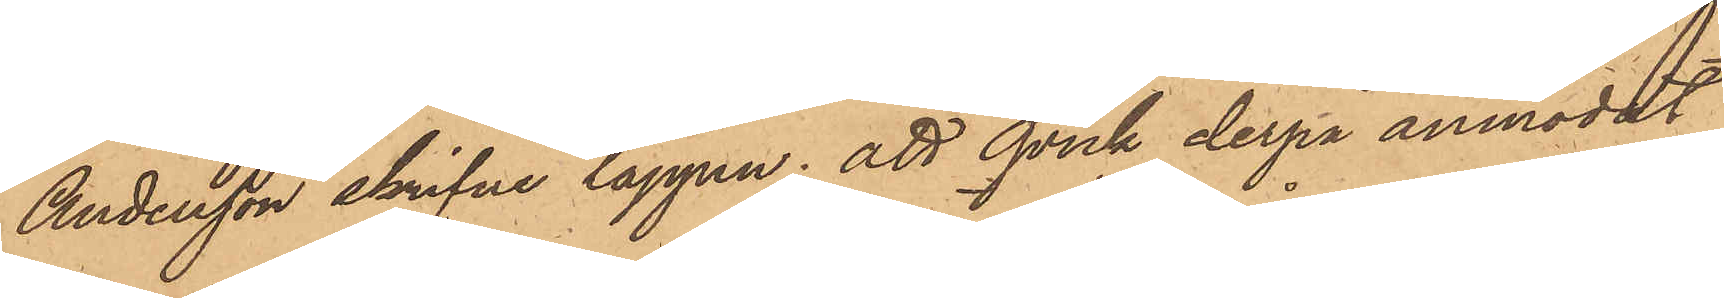Andersson skrifne lappen; att Qvick derpå anmodat
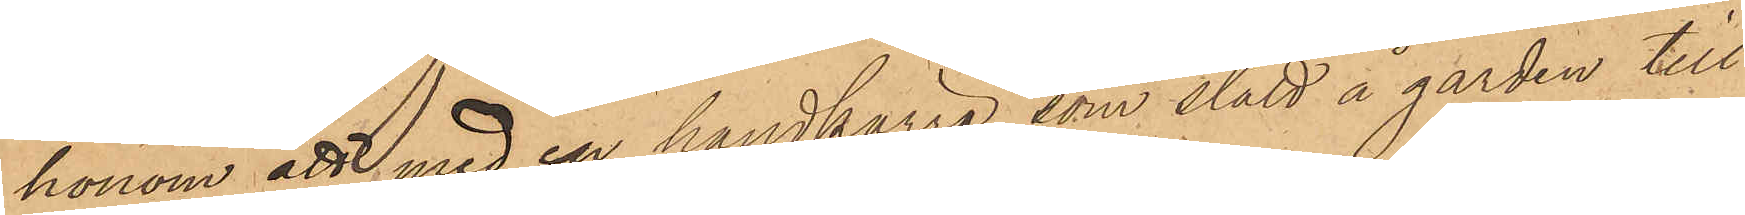honom att med en handkärra, som stått å gården till
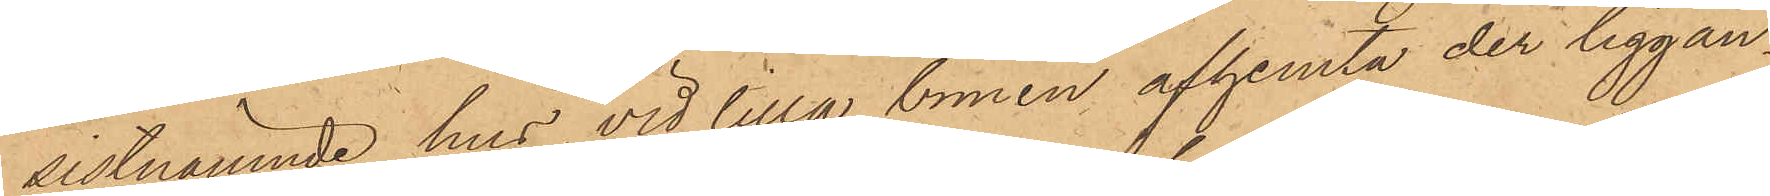sistnämnde hus vid lilla bomen afhemta der liggan¬
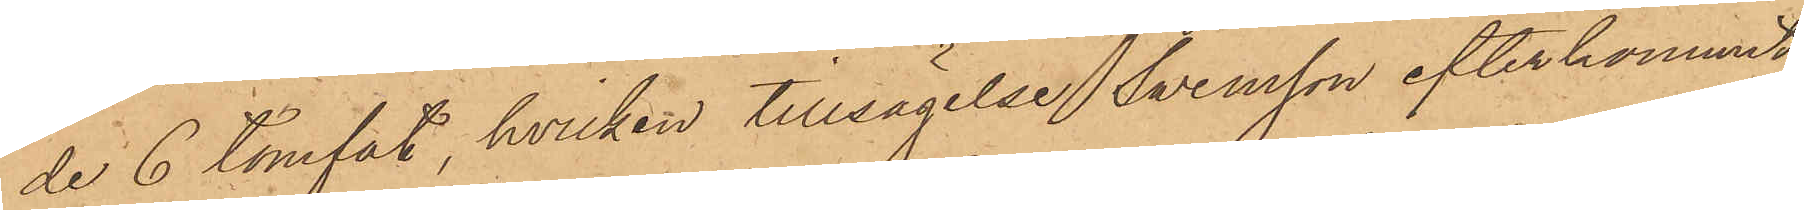de 6 tomtat, hvilken tillsägelse Svensson efterkommit
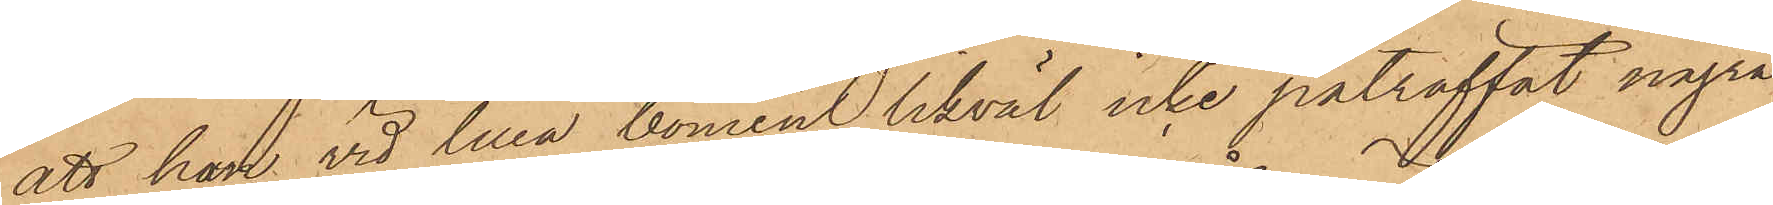att han vid lilla bomen likväl icke påträffat några
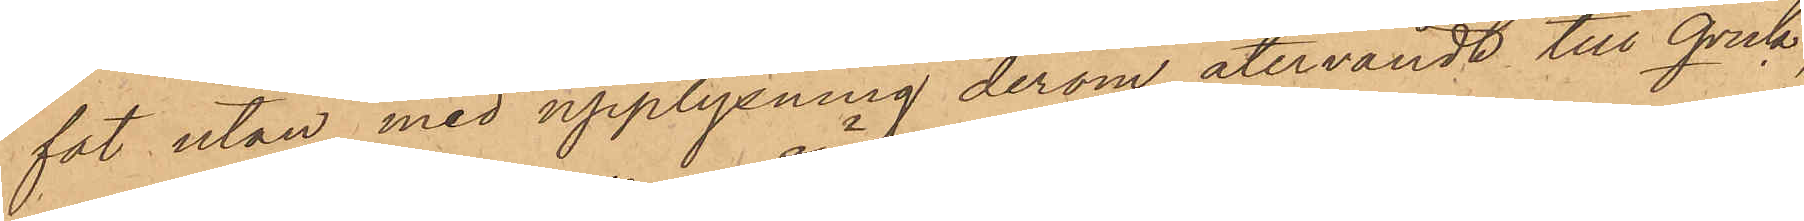fat utan med upplysning derom återvändt till Qvick,
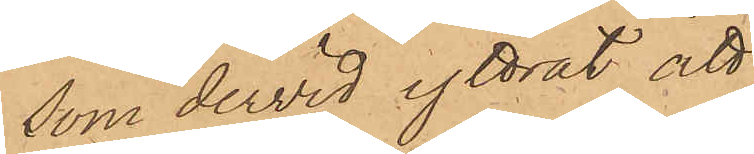som dervid yttrat att
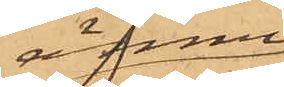ännu
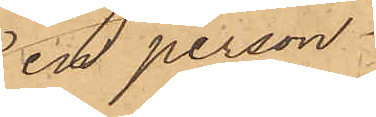en person
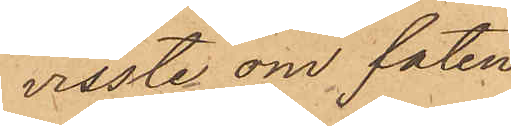visste om faten
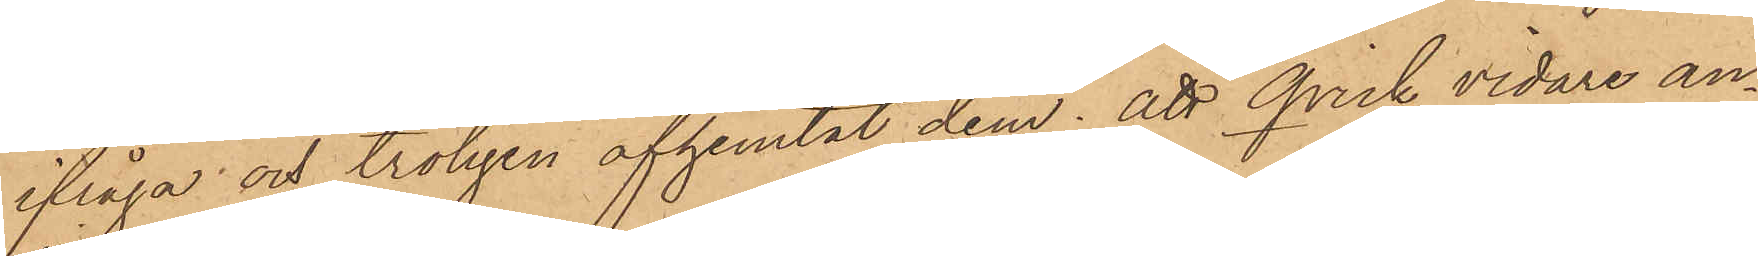ifråga och troligen afhemtat dem; att Qvisk vidare an¬
